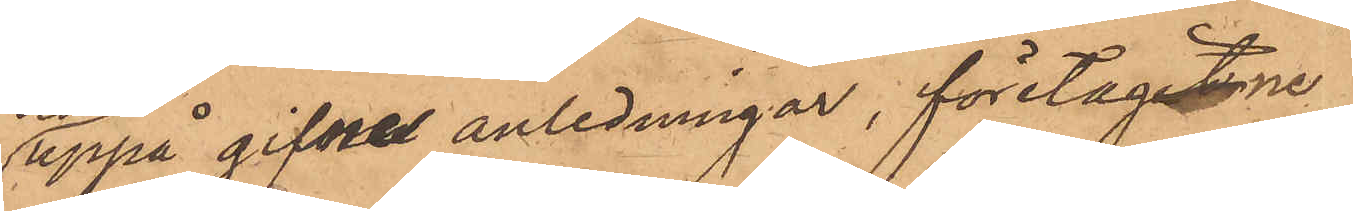uppå gifvne anledningar, företagne
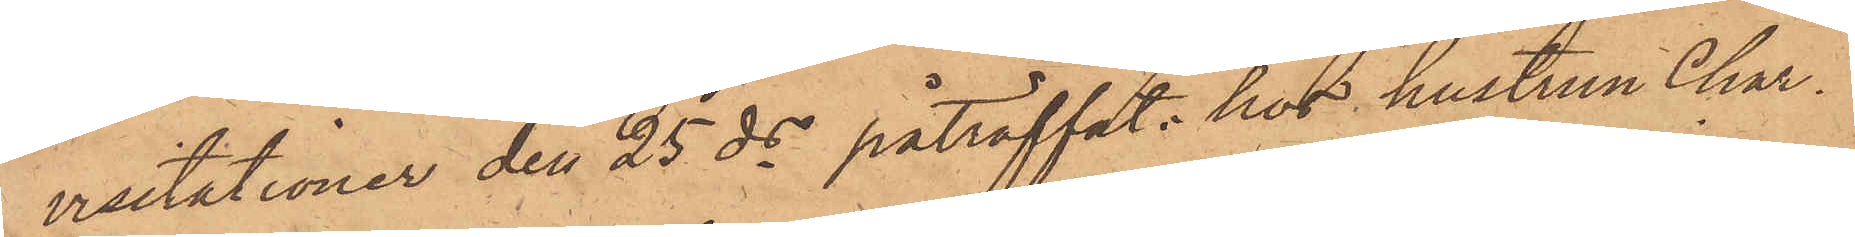visitationer den 25 ds påträffat hos hustrun Char¬
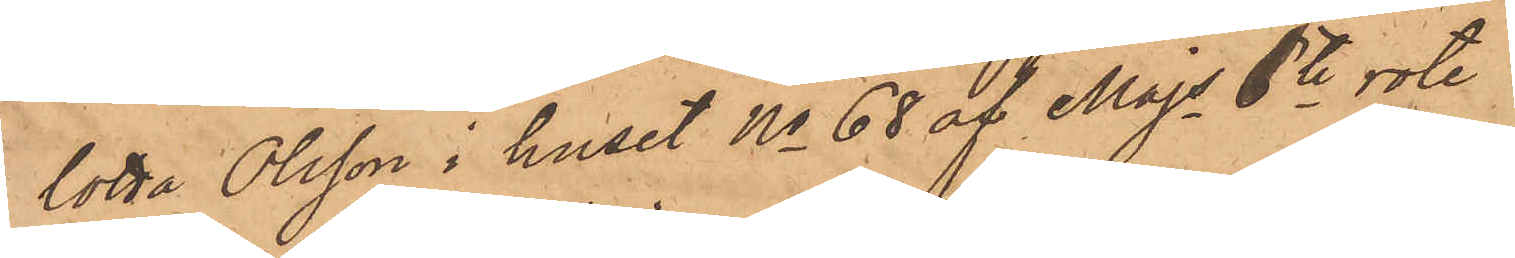lotta Olsson i huset No 68 af Majs 6te rote
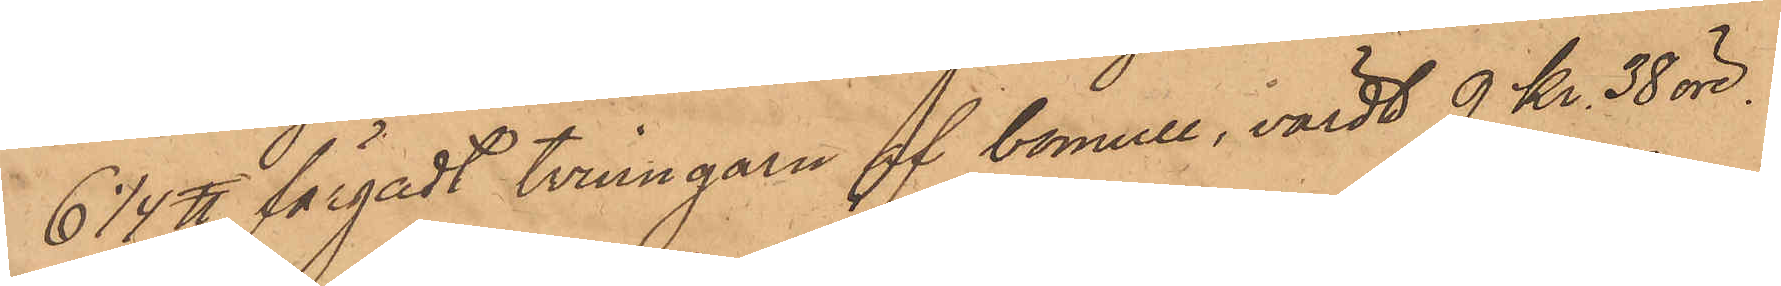6 1/4 ℔ färgadt tvinngarn af bomull, värdt 9 Kr. 38 öre.
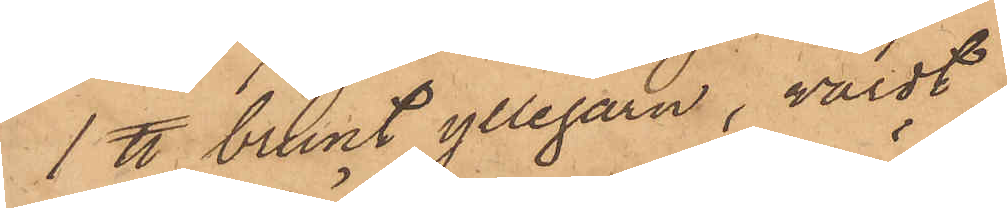1 ℔ brunt yllegarn, värdt
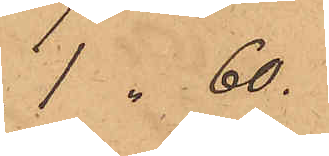1 " 60.
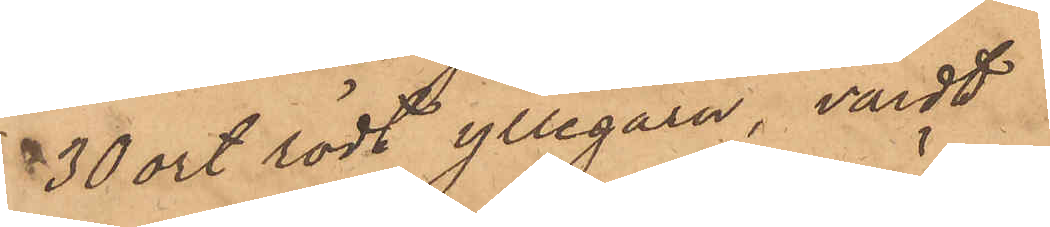30 ort rödt yllegarn, värdt
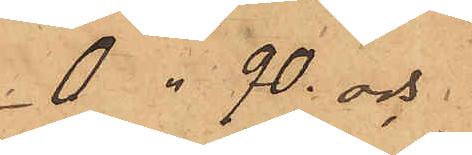0 " 90 och
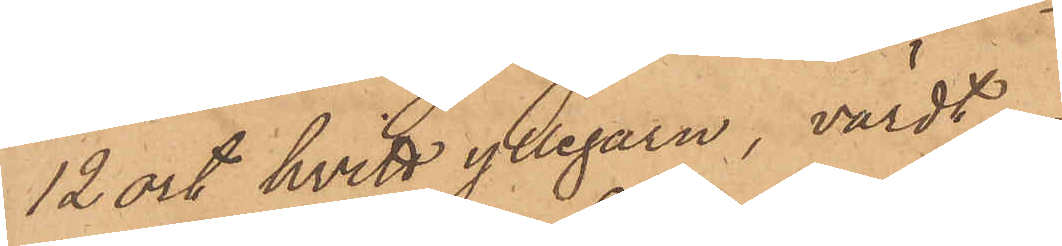12 ort hvitt yllegarn, värdt
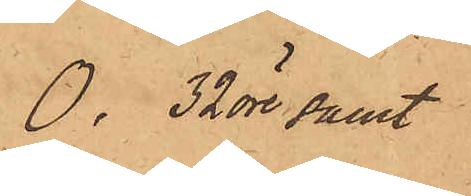0. 32 öre samt
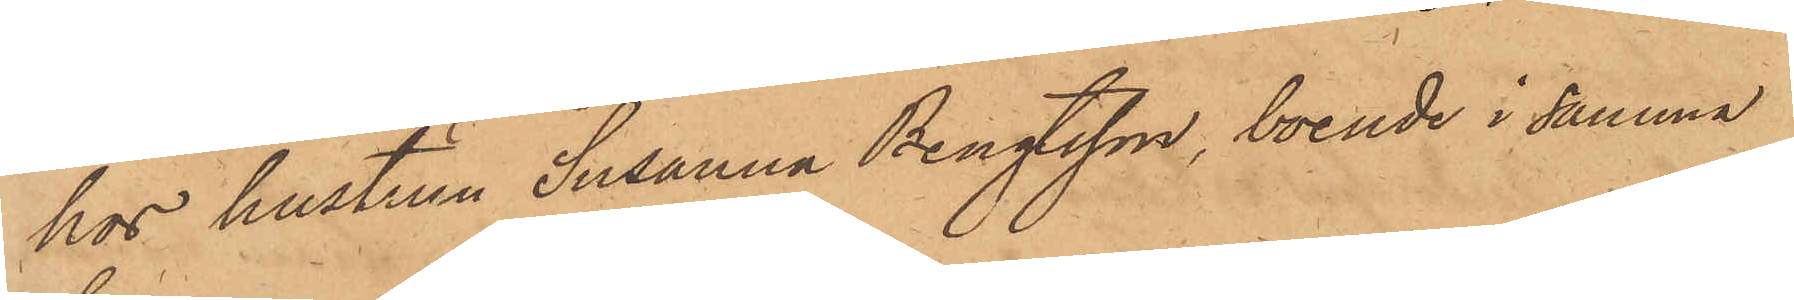hos hustrun Susanna Bengtsson, boende i samma
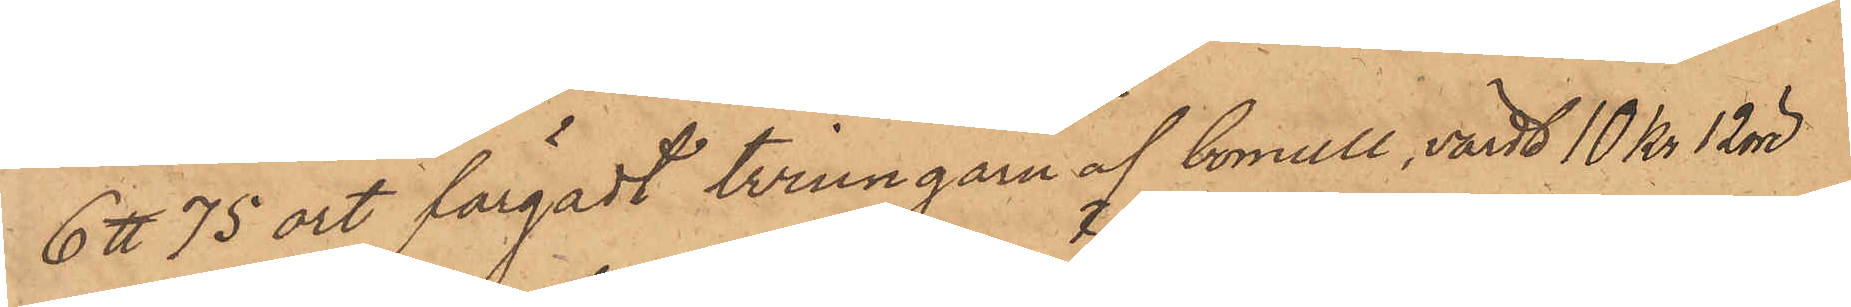6 ℔ 75 ort färgadt tvinngarn af bomull, värdt 10 Kr 12 öre
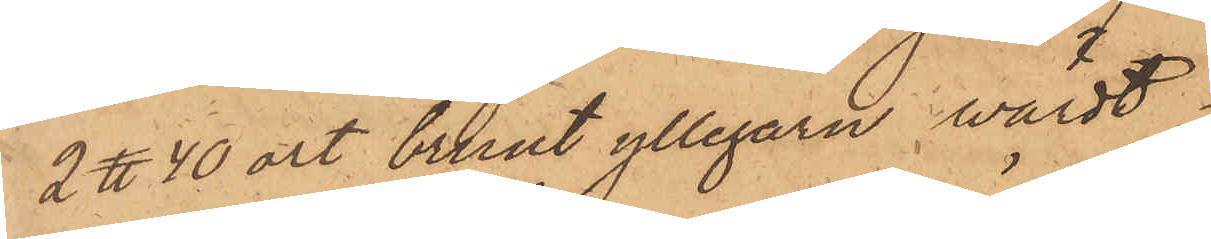2 ℔ 40 ort brunt yllegarn, värdt
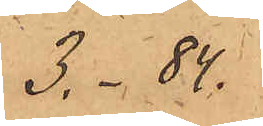3, - 84.
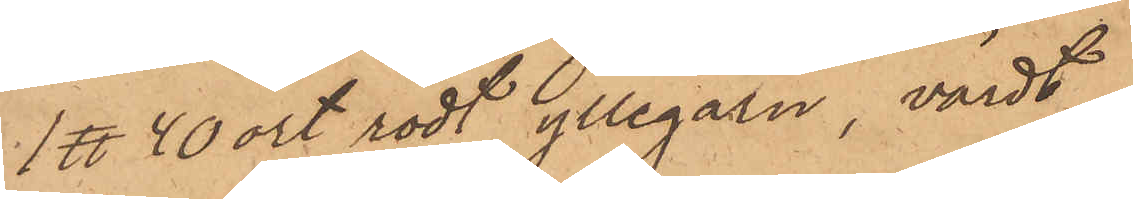1 ℔ 40 ort rödt yllegarn, värdt
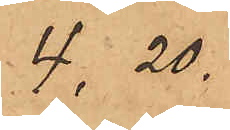4,20.
